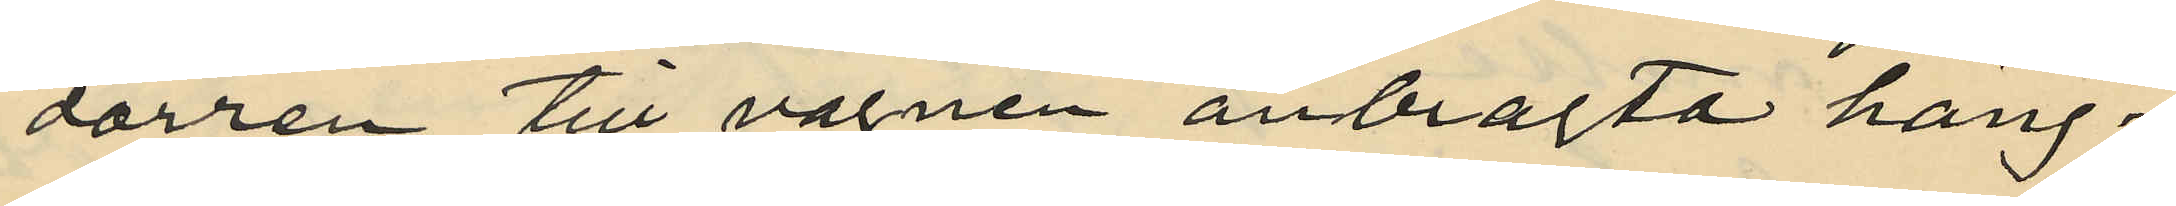dörren till vagnen anbragta häng¬
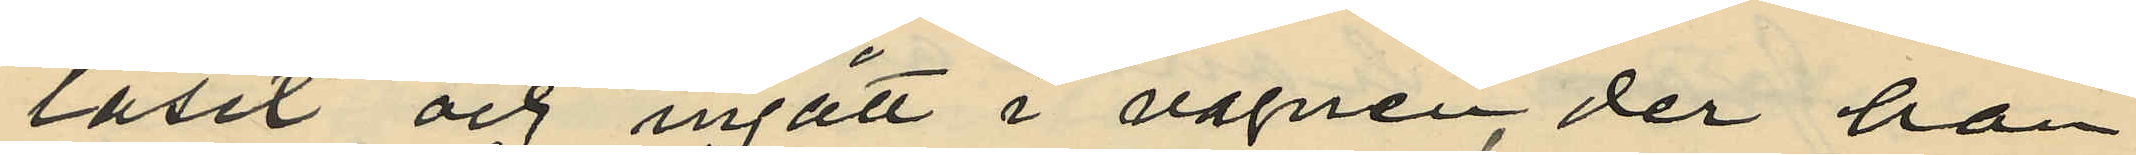låset och ingått i vagnen, der han
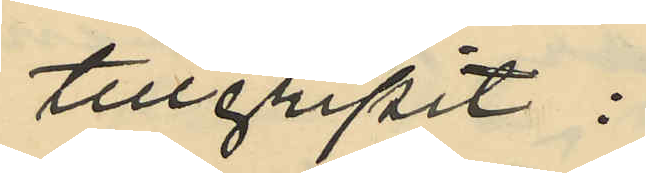tillgripit:
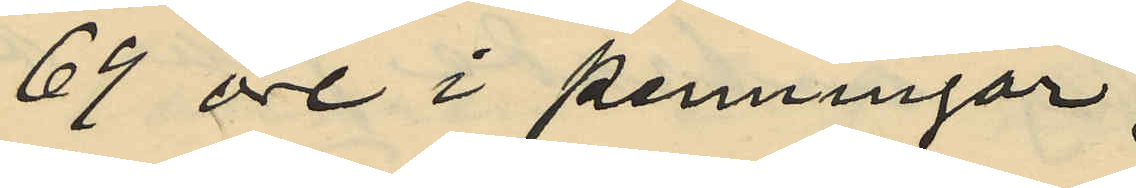69 öre i penningar;
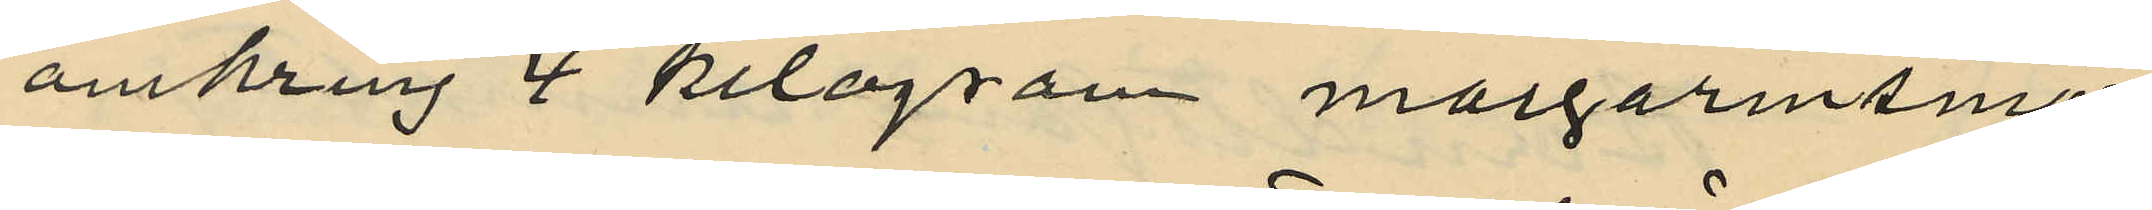omkring 4 kilogram margarinsmör,
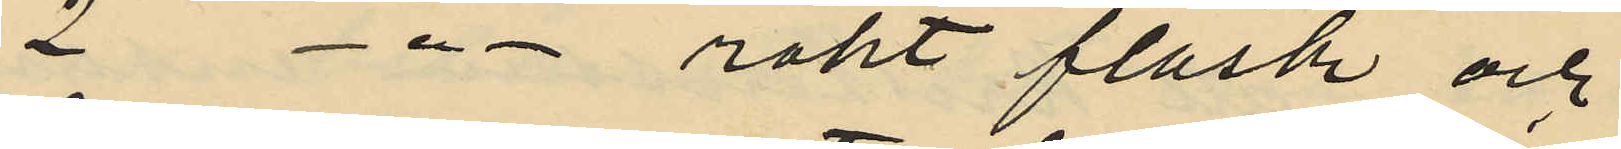2 - " - rökt fläsk och
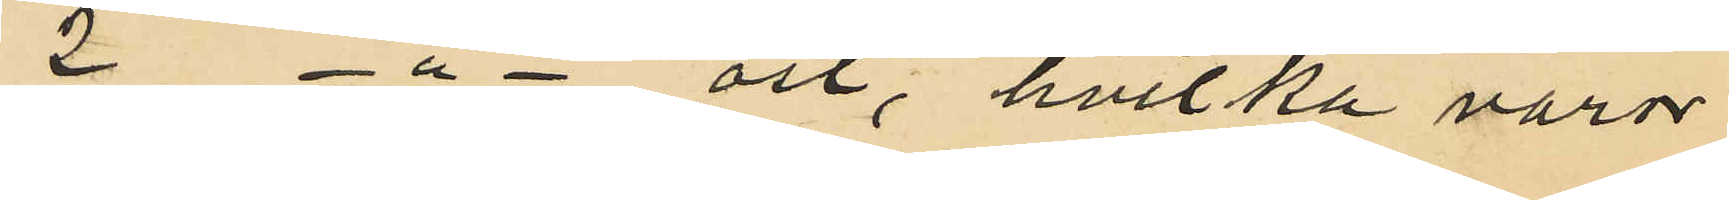2 - " - ost, hvilka varor
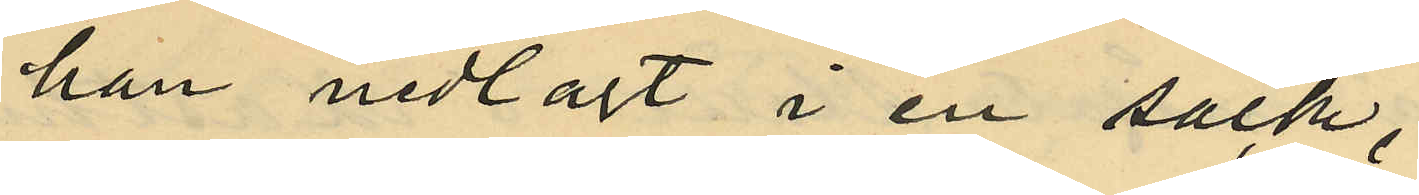han nedlagt i en säck,
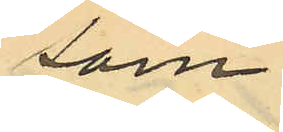som
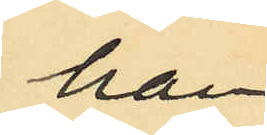han
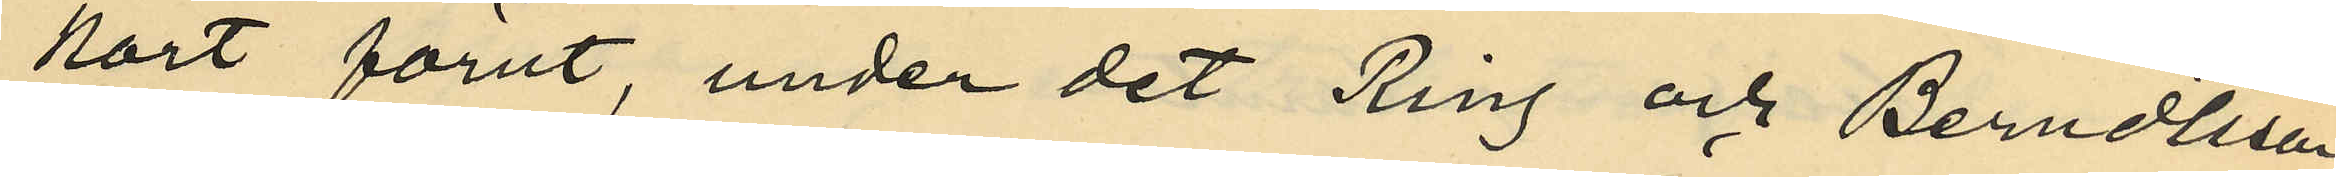kort förut, under det Ring och Berndtsson
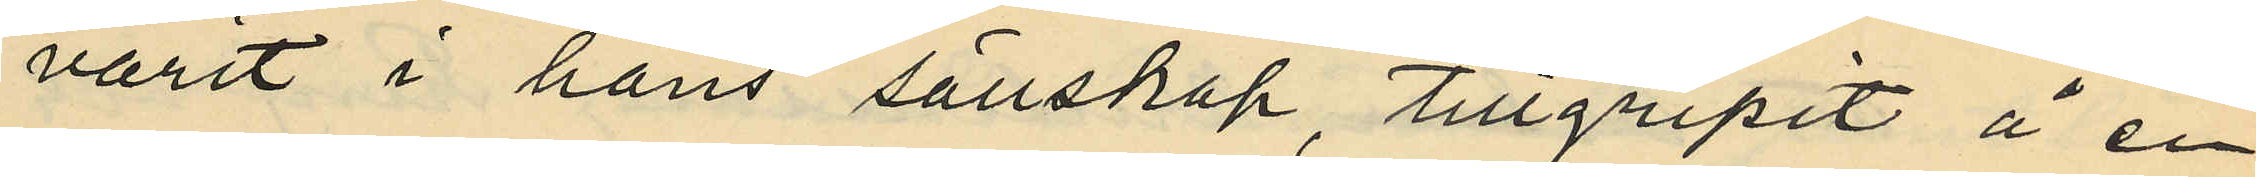varit i hans sällskap, tillgripit å en
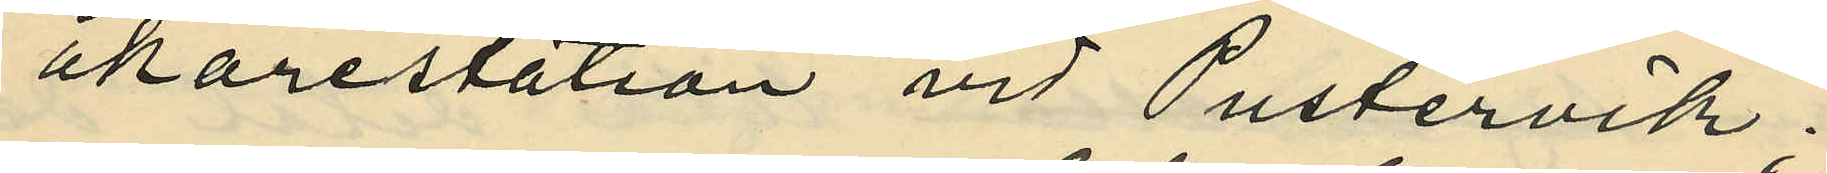åkarestation vid Pustervik;
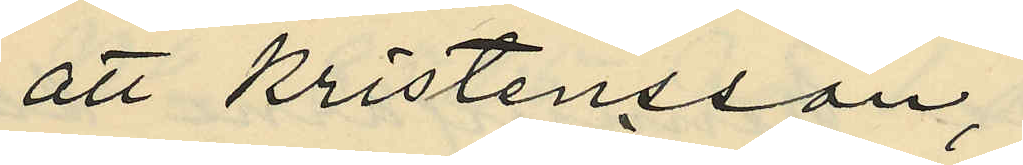att Kristensson,
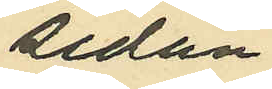sedan
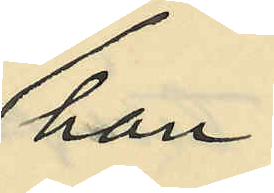han
